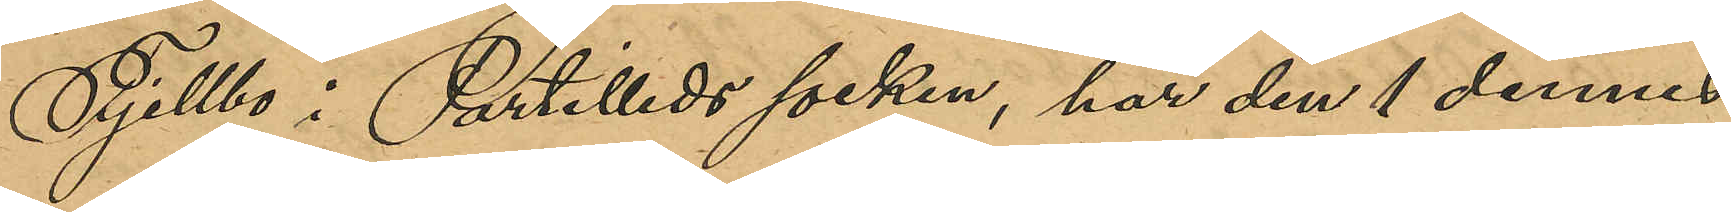Fjellbo i Partilleds socken, har den 1 dennes
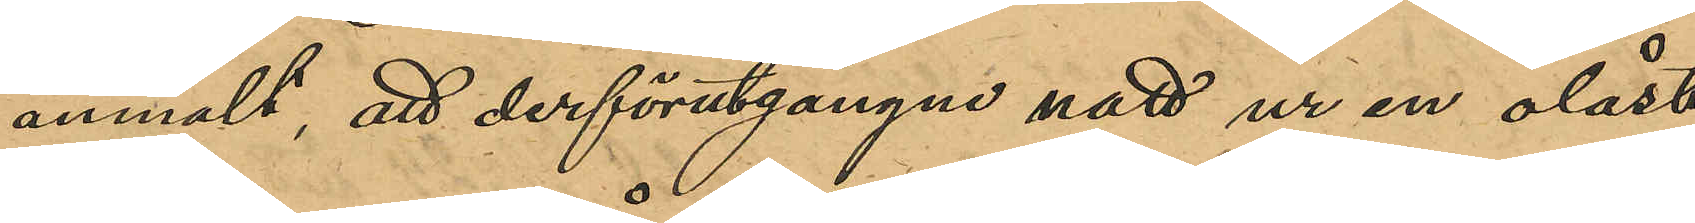anmält, att derförutgångne natt ur en olåst
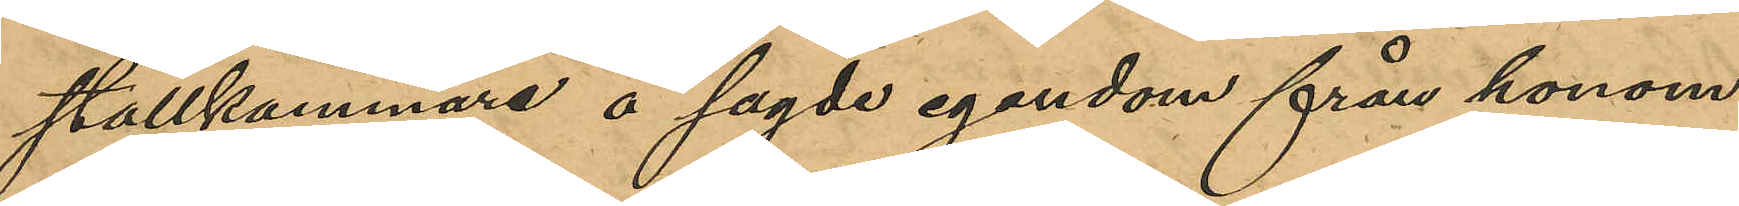stallkammare å sagde egendom från honom
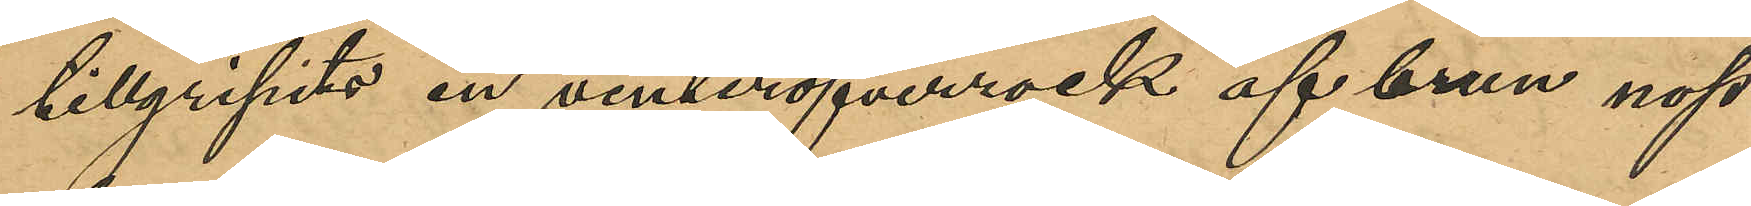tillgripits en vinteröverrock af brun nop¬
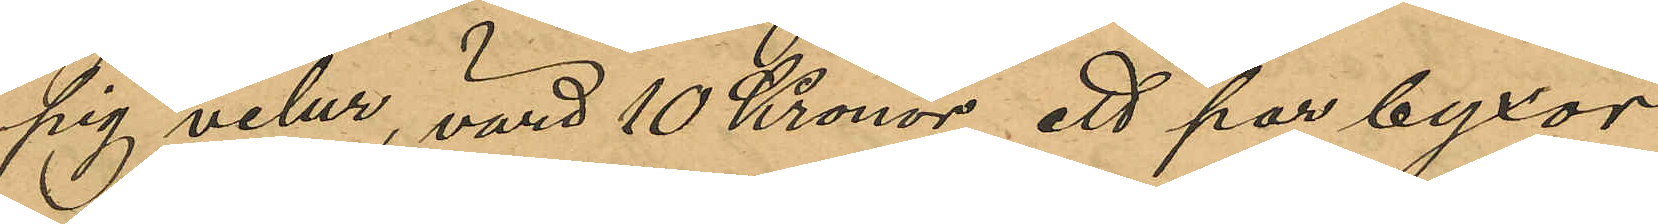pig velur, värd 10 Kronor, ett par byxor
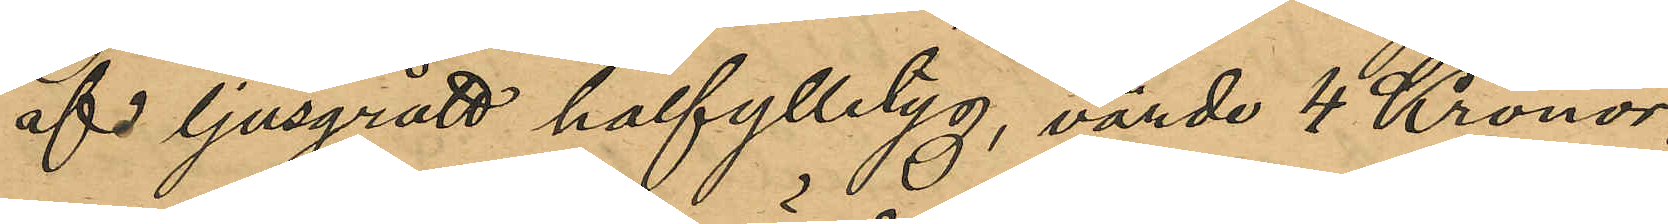af ljusgrått halfylletyg, värde 4 Kronor
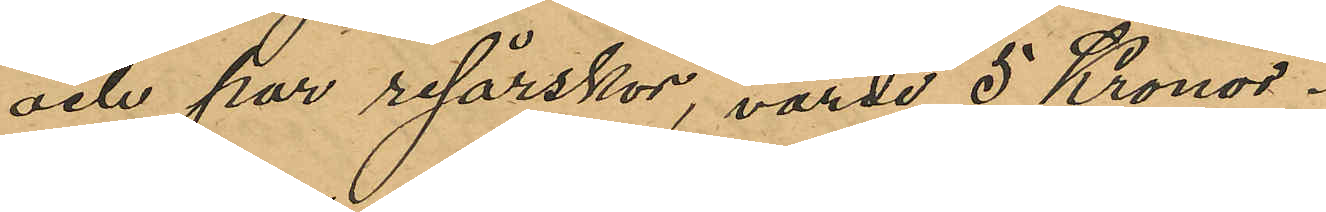och par resårskor, värde 5 Kronor.
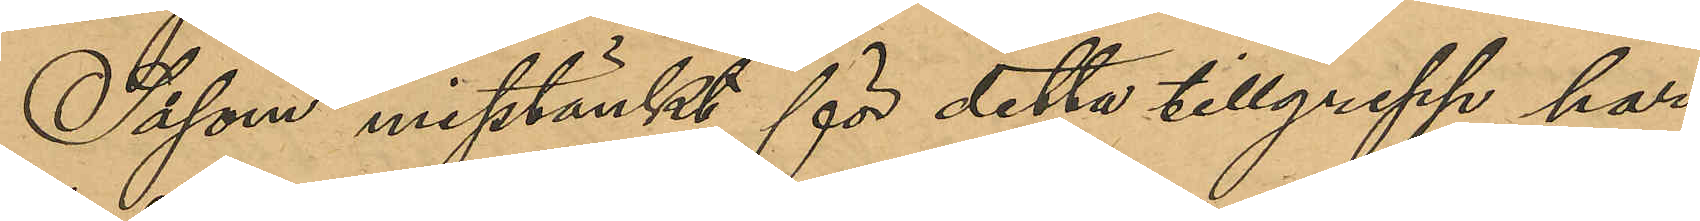Såsom misstänkt för detta tillgrepp har
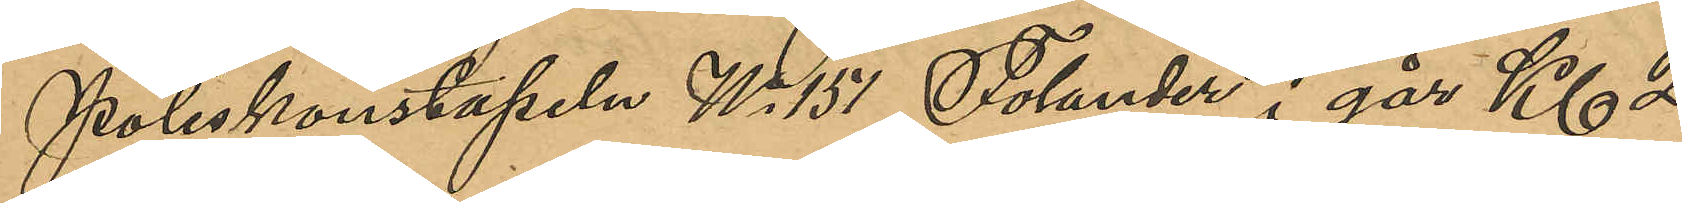Poliskonstapeln No 151 Tolander i går Kl 2
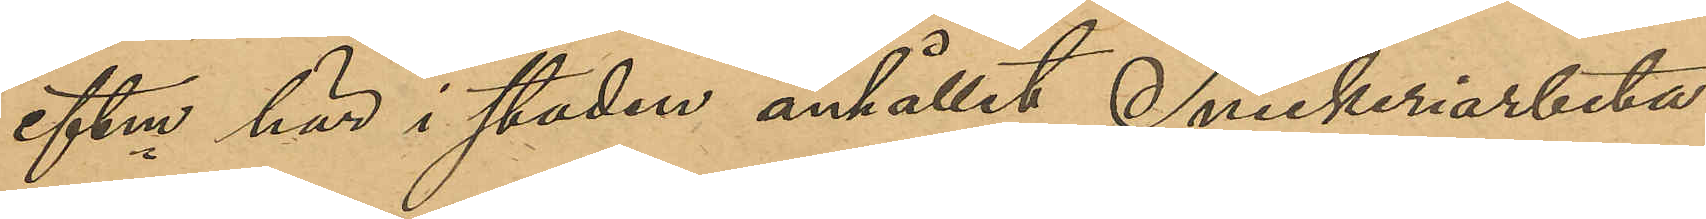eftm här i staden anhållit Snickeriarbeta¬
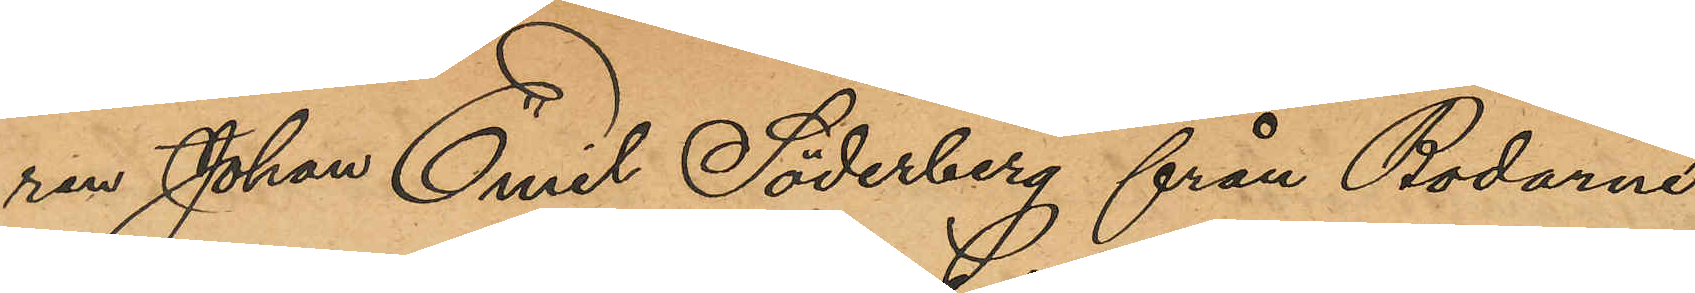ren Johan Emil Söderberg från Bodarne
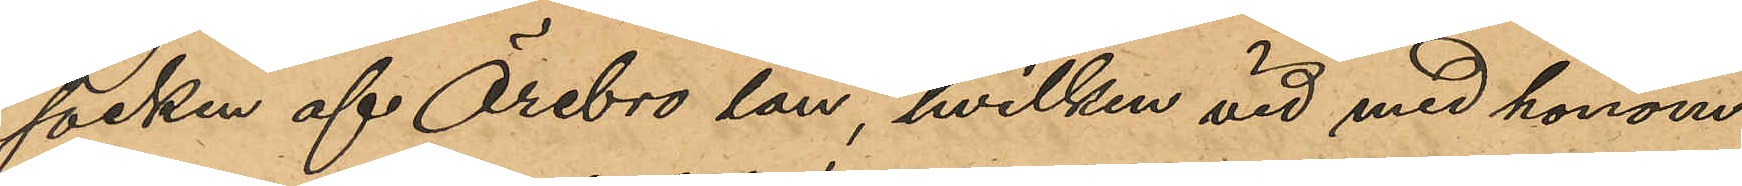socken af Örebro län, hvilken vid med honom
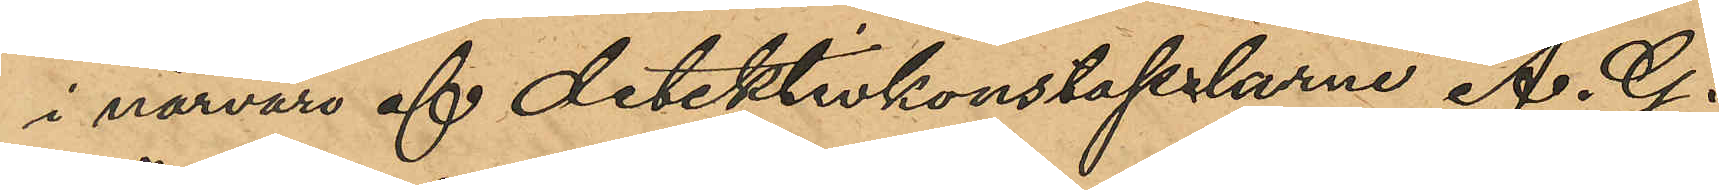i närvaro af detektivkonstaplarne A. G.
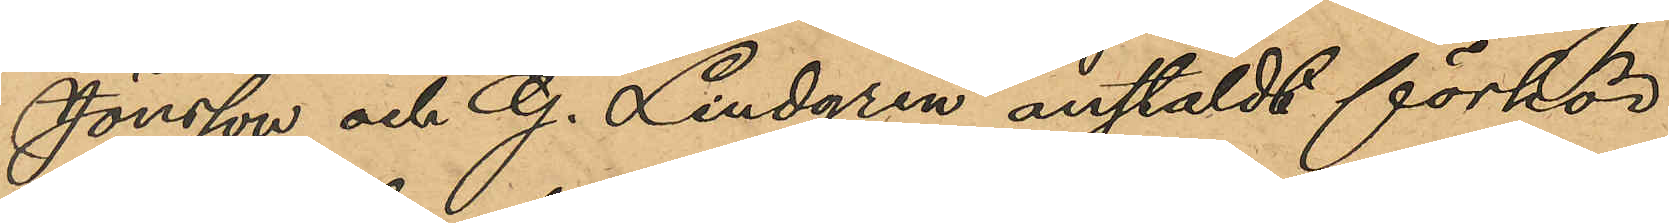Jönsson och G. Lindgren anstäldt förhör
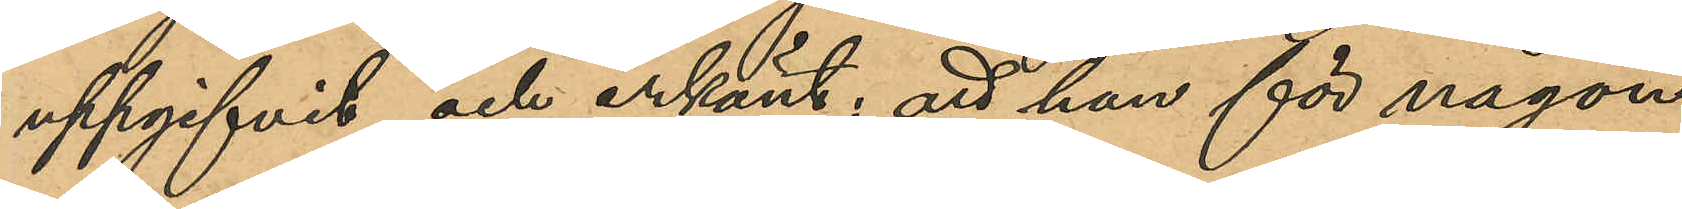uppgifvit och erkänt; att han för någon
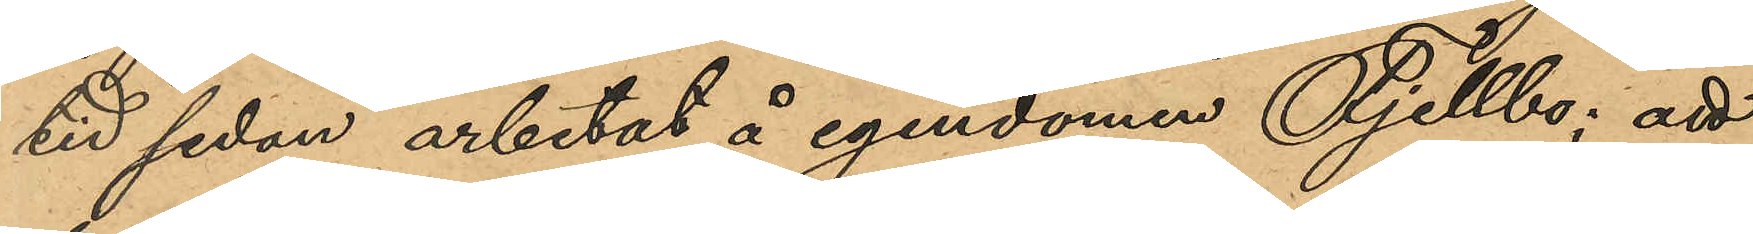tid sedan arbetat på egendomen Fjellbo; att
